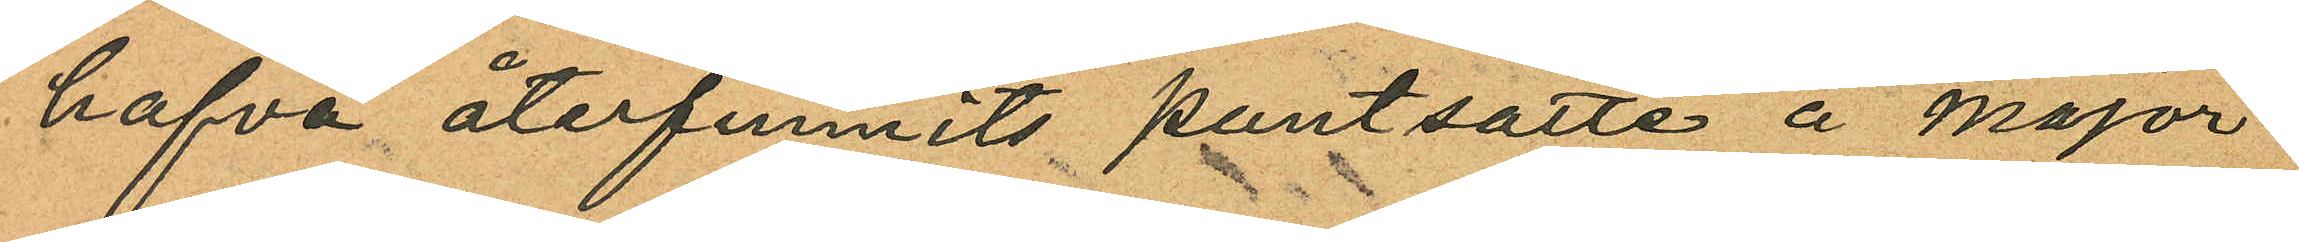hafva återfunnits pantsatte å Major¬
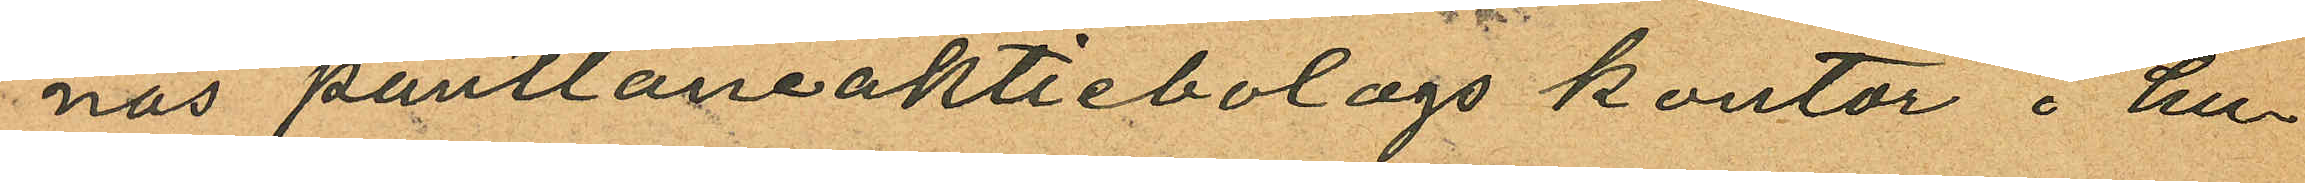nas pantlåneaktiebolags kontor i hu¬
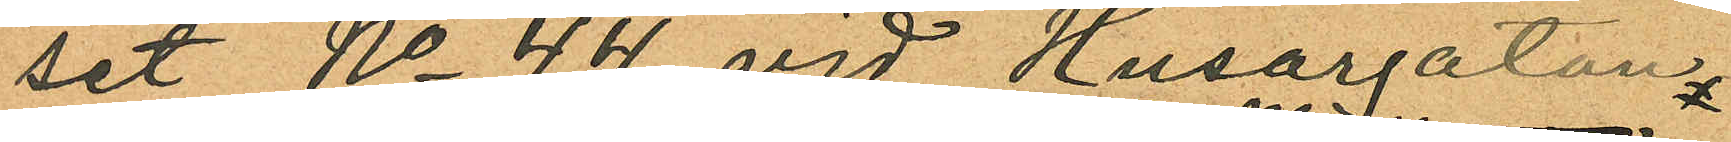set No 44 vid Husargatan
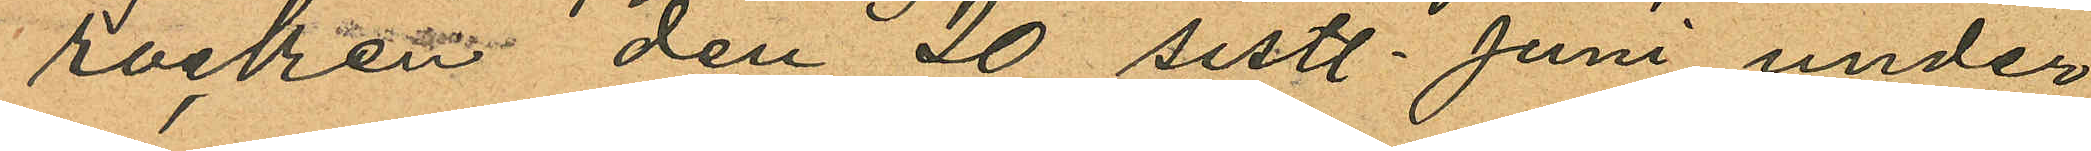rocken den 20 sistl. Juni under
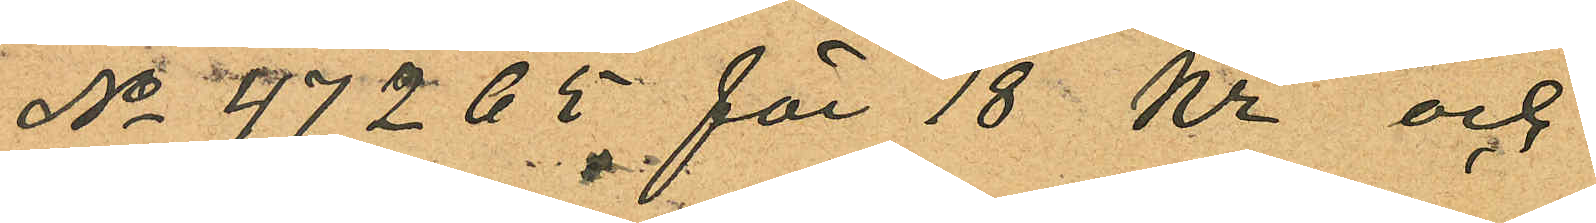No 47265 för 18 Kr och
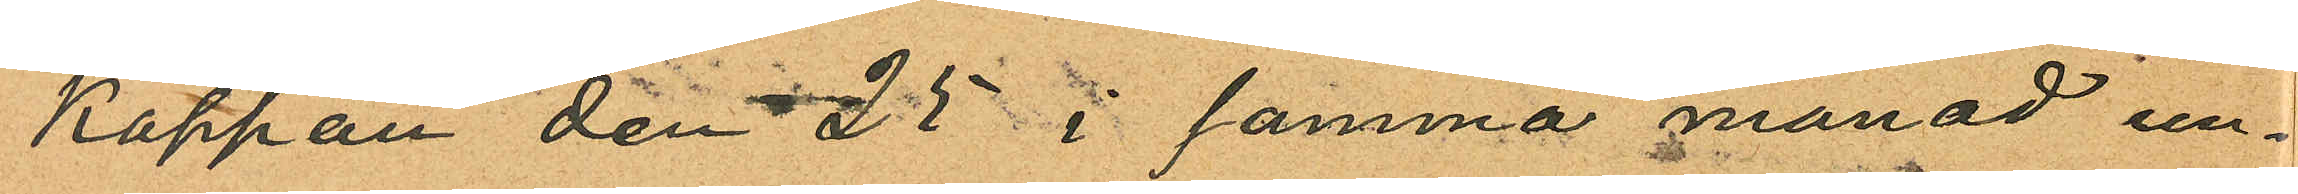Kappan den 25 i samma månad un¬
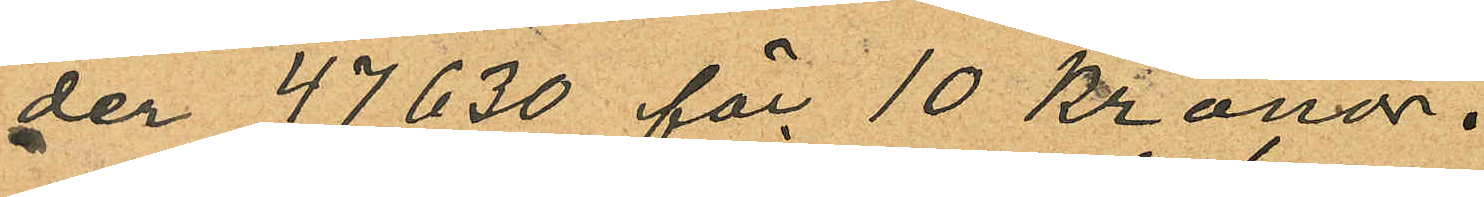der 47630 för 10 Kronor.
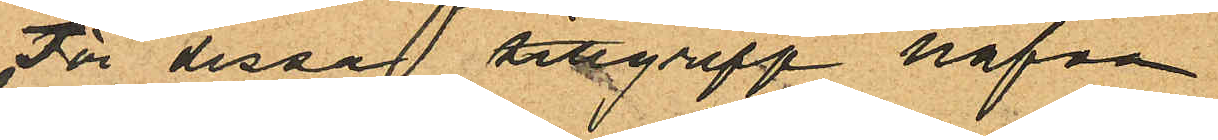För dessa tillgrepp hafva
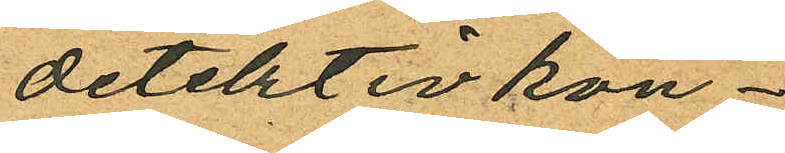detektivkon¬
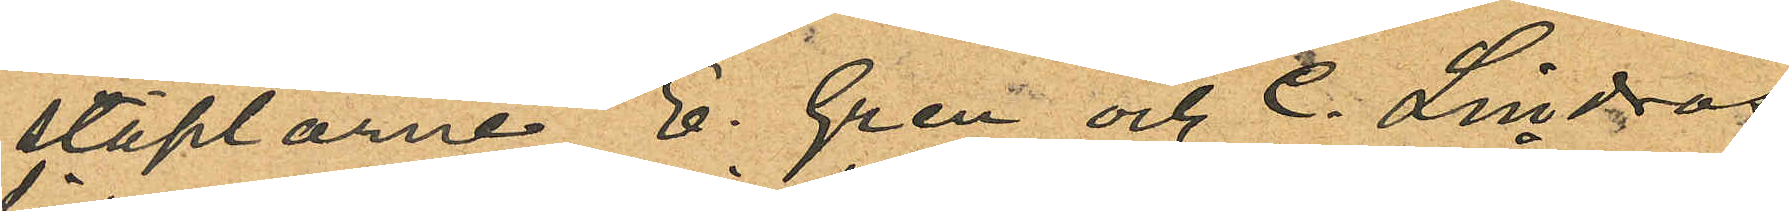staplarne E. Gren och C. Lindros
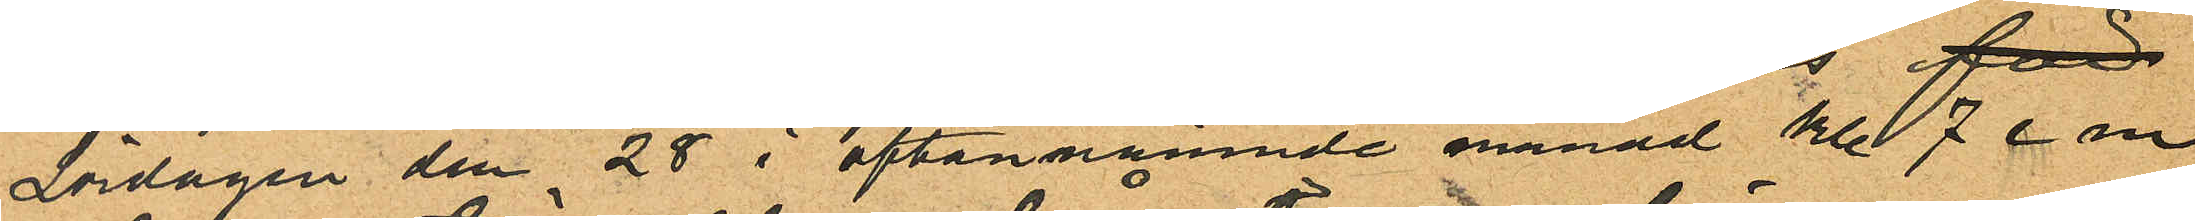Lördagen den 28 i oftannämnde månad kl 7 e m
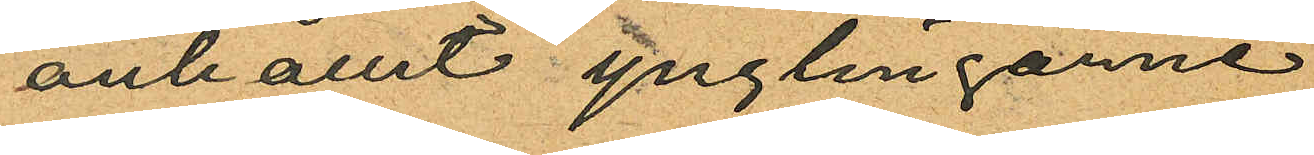anhållit ynglingarne
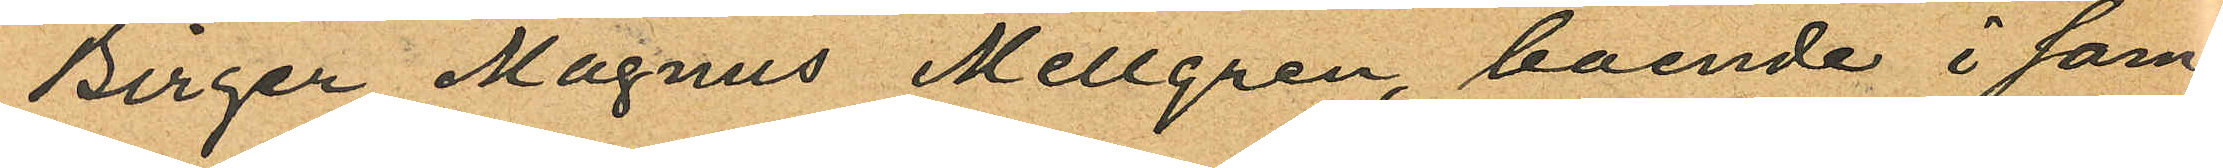Birger Magnus Mellgren, boende i sam¬
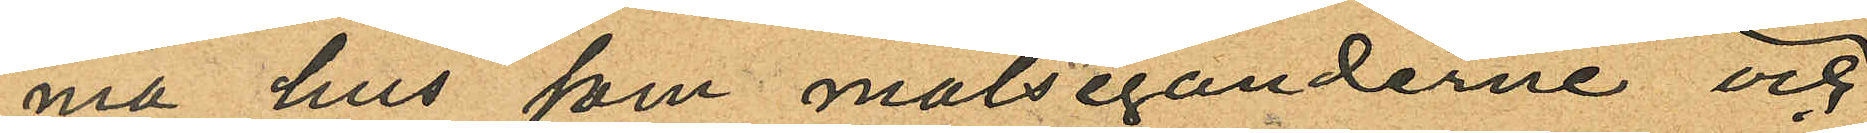ma hus som målseganderne och
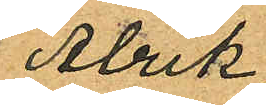Alrik
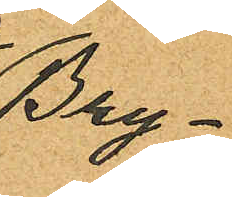Bry¬
